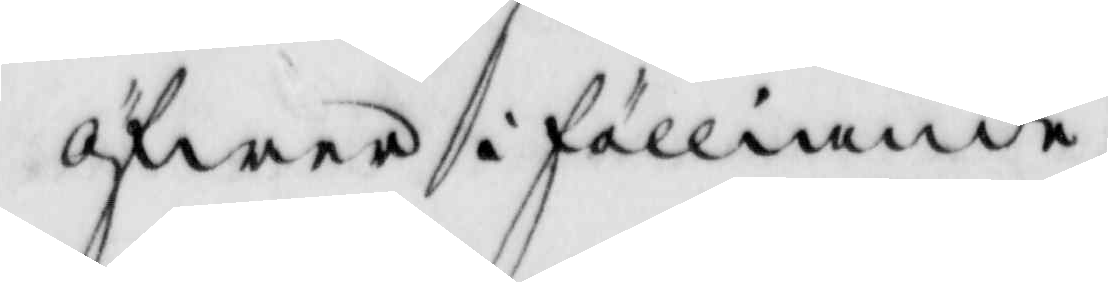öfwer i fälliande
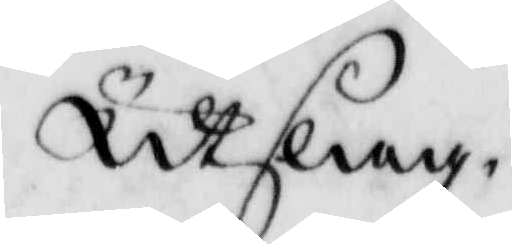Utslag.
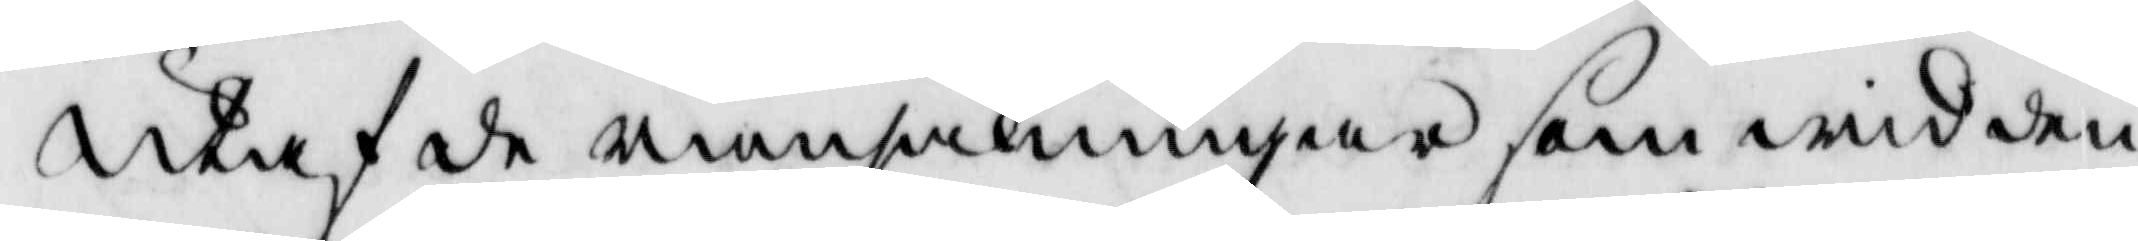Utaf de ransakningar som wid den¬
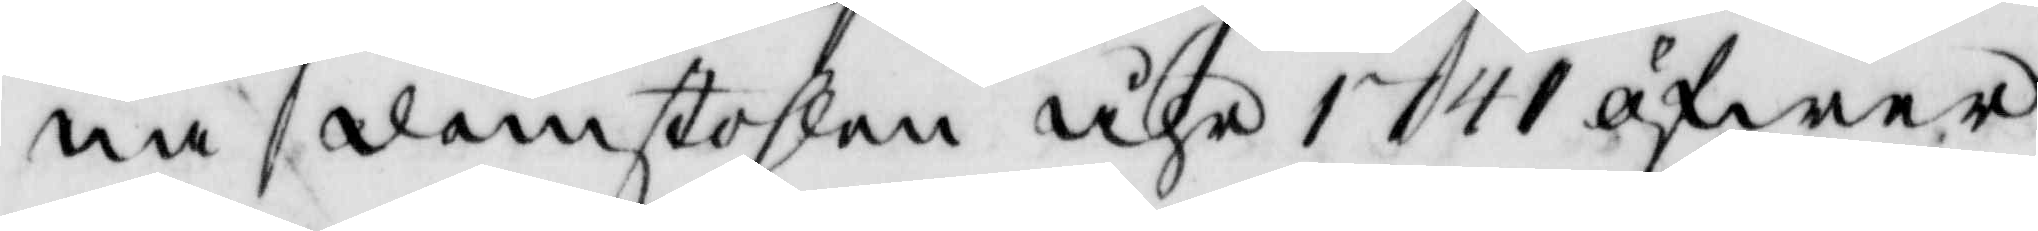na domstolen åhr 1741 öfwer
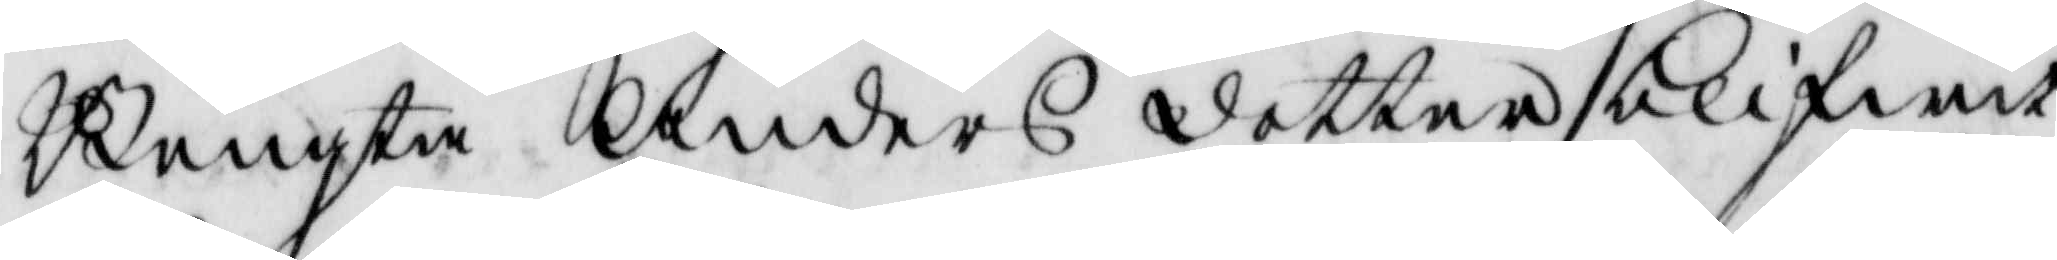Bengta Anders dotter blifwit
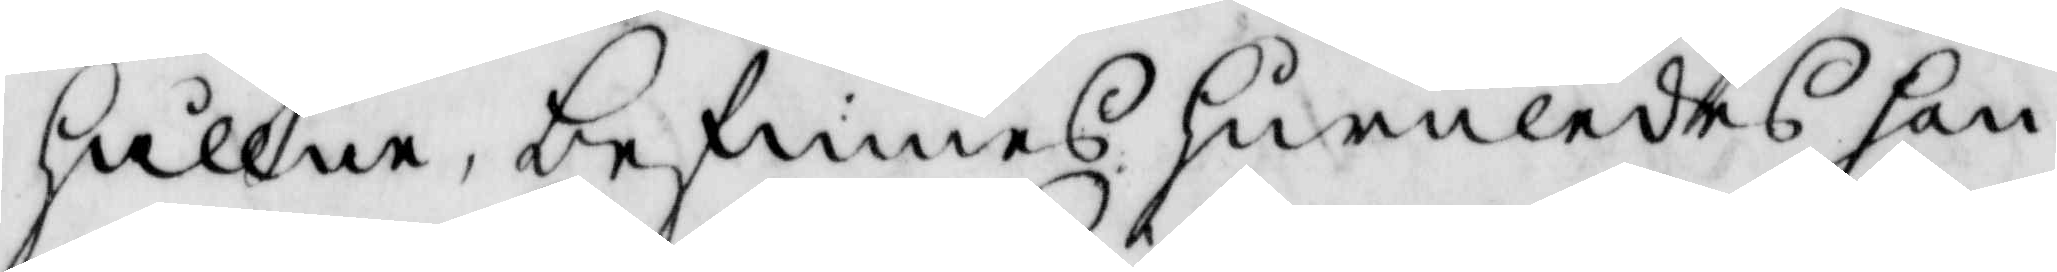hållen, befinnes huruledes hon
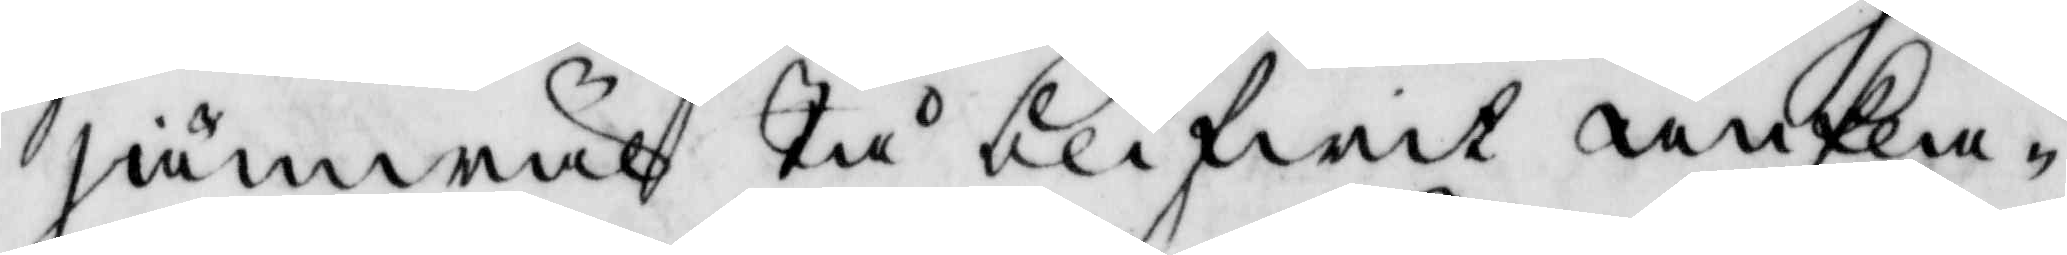jämwäl Tå blifwit ankla¬
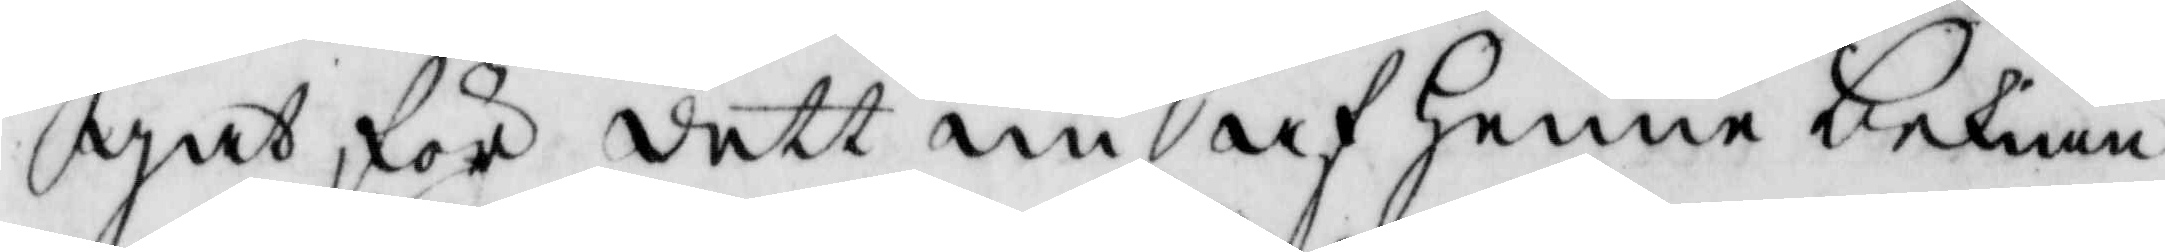gat för dett nu af henne bekiän¬
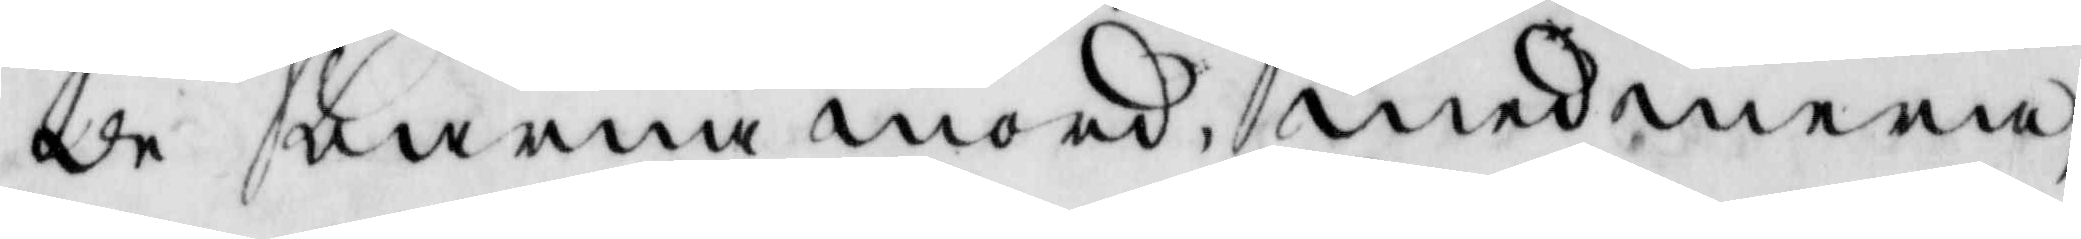de barnamord, med mera,
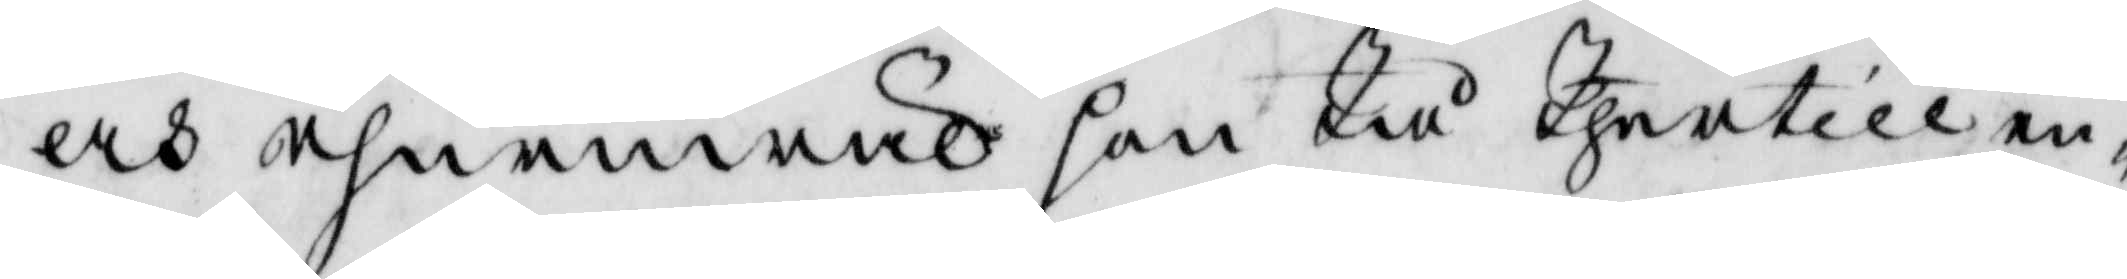och ehuruwäl hon Tå Thertill en¬
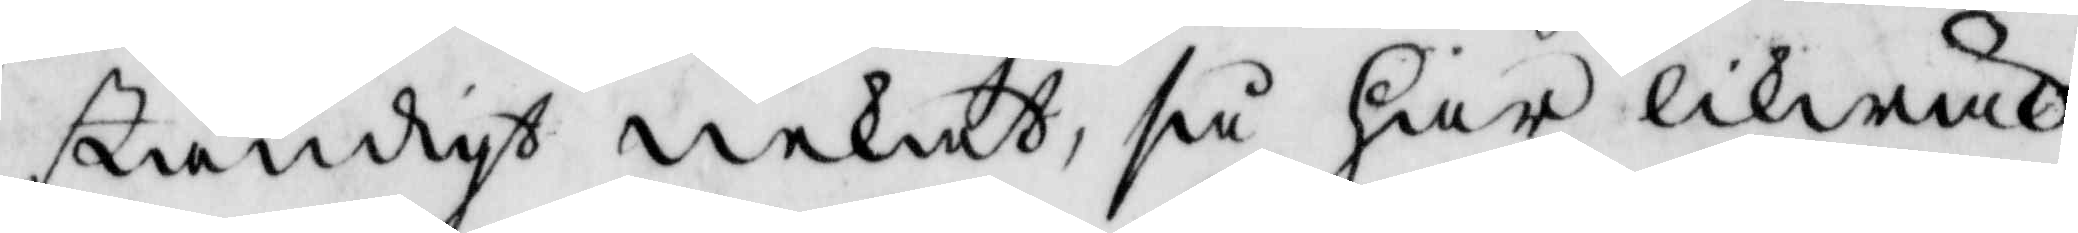ständigt nekat, så har likwäl
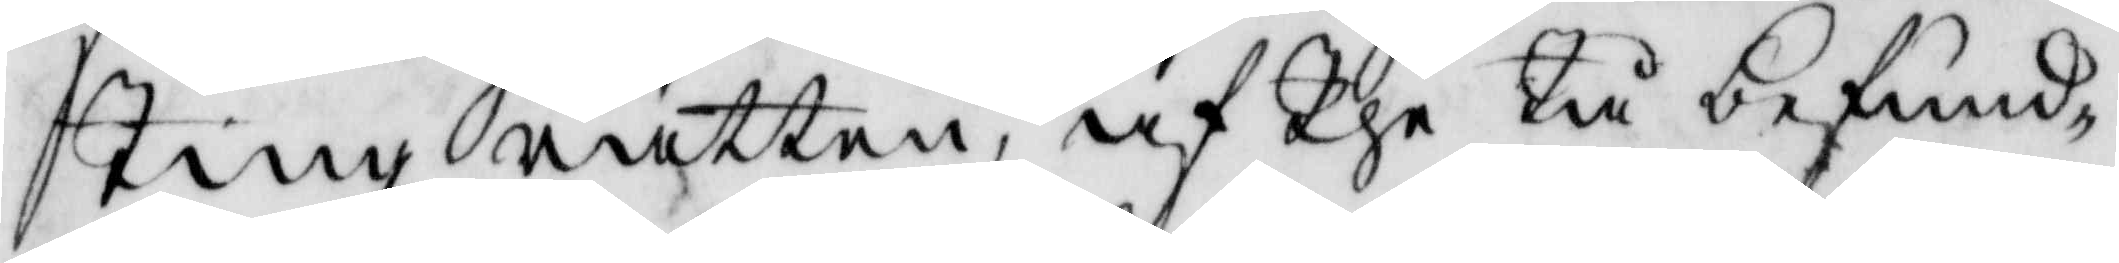Tingz rätten, af The Tå befun¬
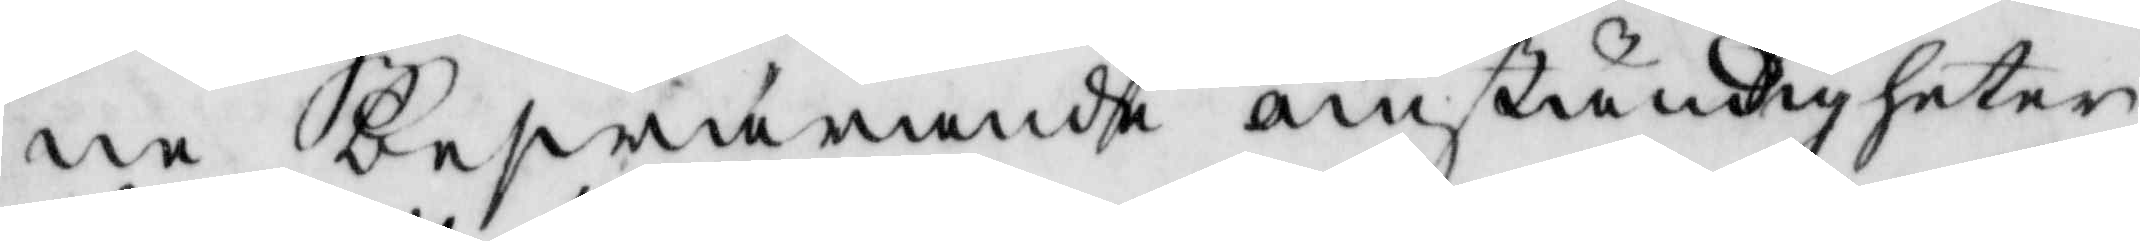ne beswarande omständigheter
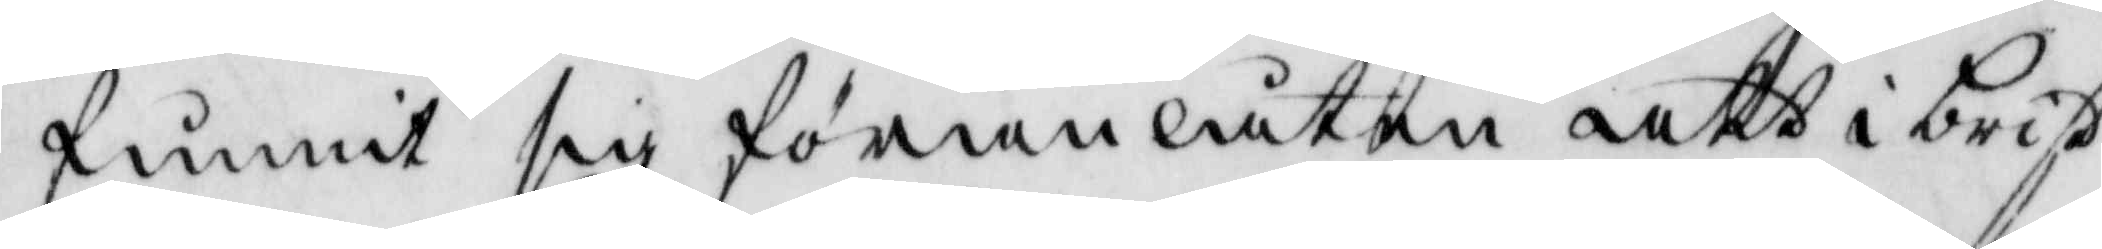funnit sig föranlåten att i brist
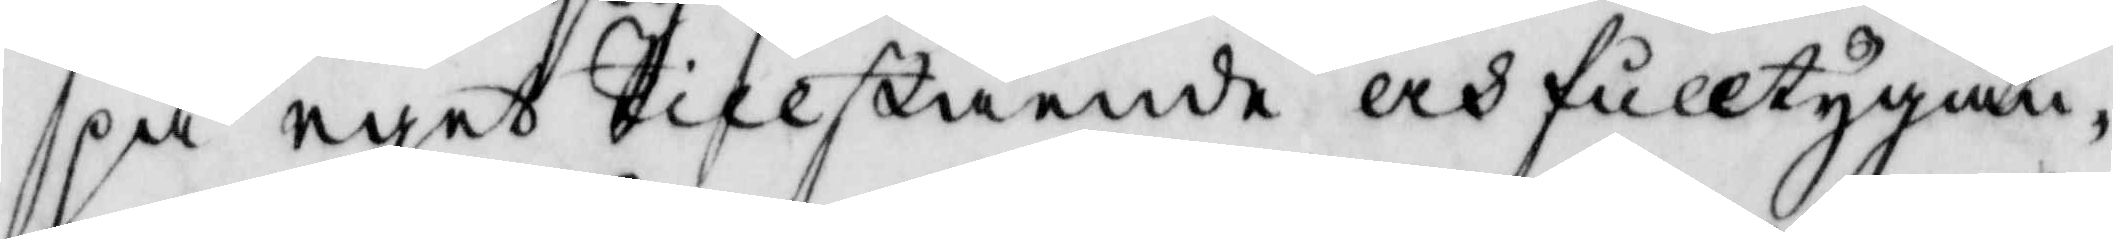på eget Tillstående och fulltygan¬
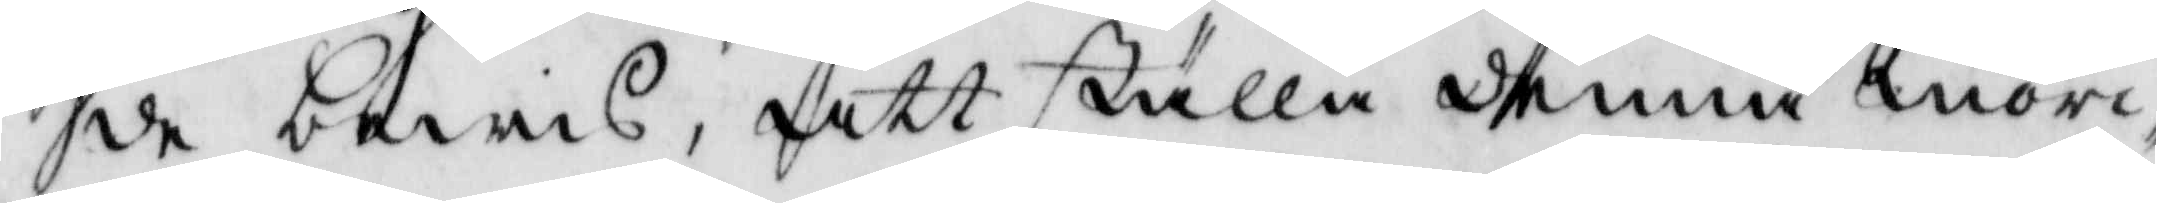de bewis, att skulle denna mör¬
